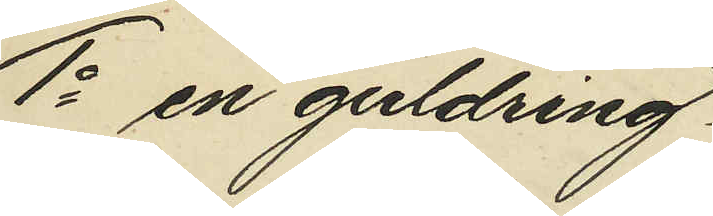1o en guldring.
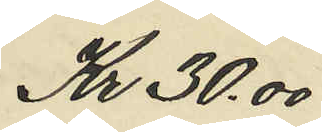Kr 30,00
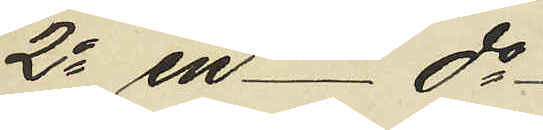2o en - do
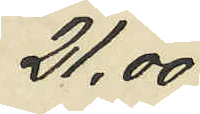21,00
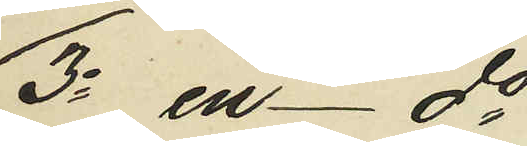3o en - do
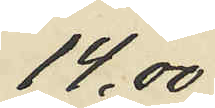14.00
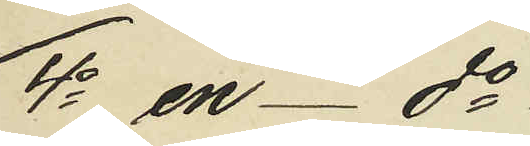4o en - do
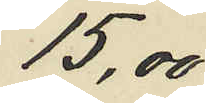15,00
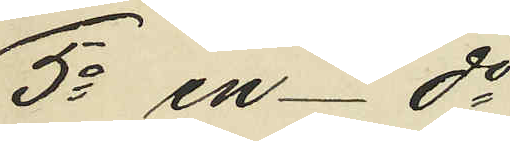5o en - do
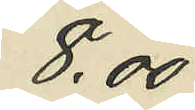8,00
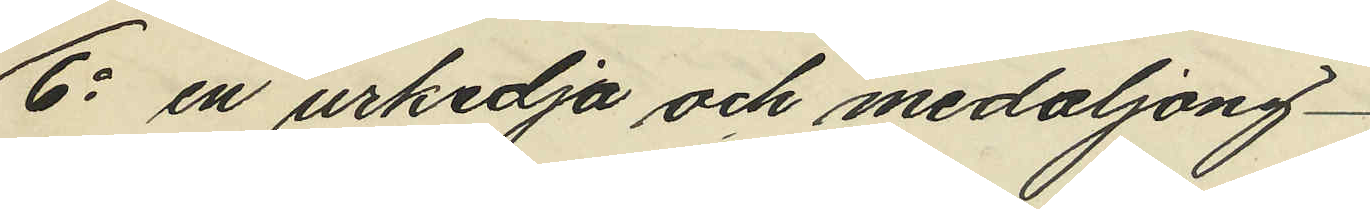6o en urkedja och medaljong
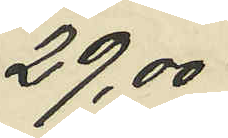29,00
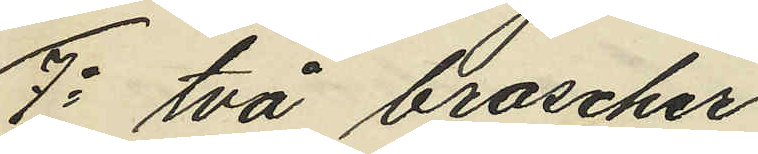7o två broscher
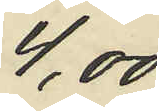4,00
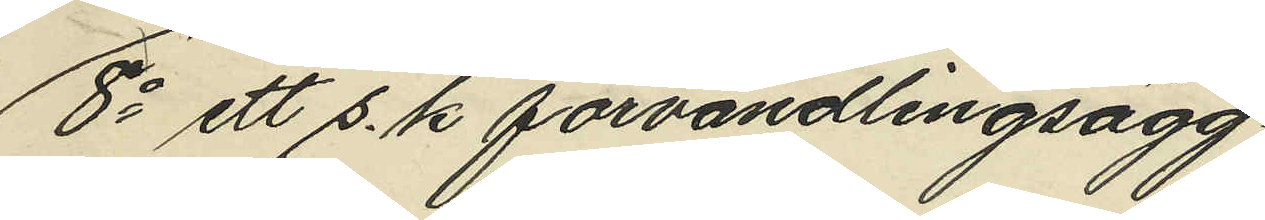8o ett s. k förvandlingsägg
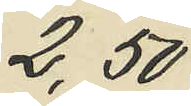2,50
